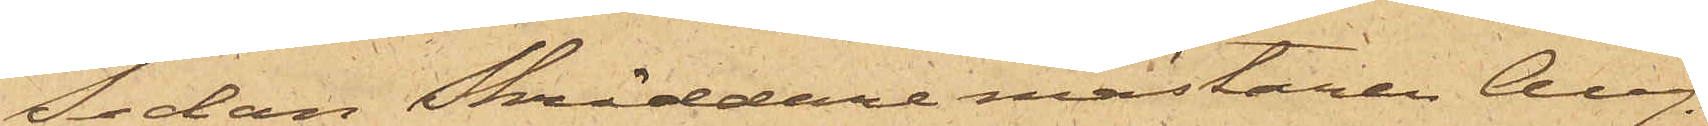Sedan Skräddaremästaren Aug.
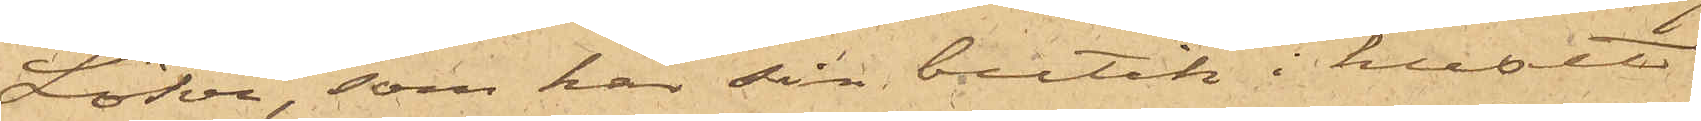Löhr, som har sin butik i huset
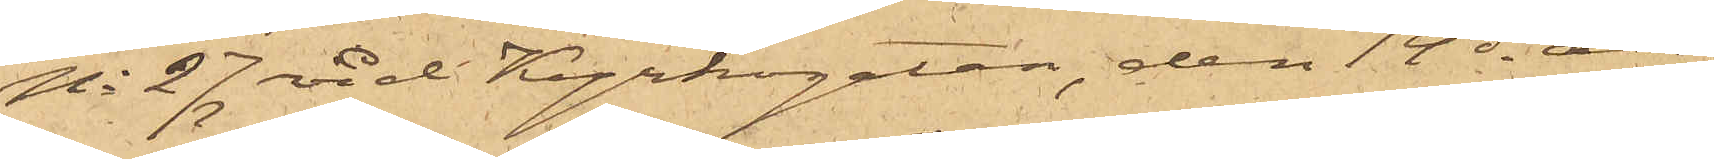No 27 vid Kyrkogatan, den 14 ds an¬
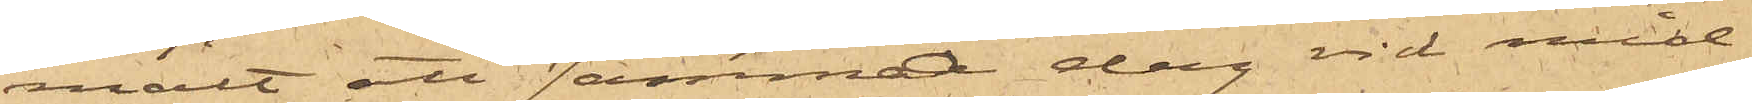mält att samma dag vid mid¬
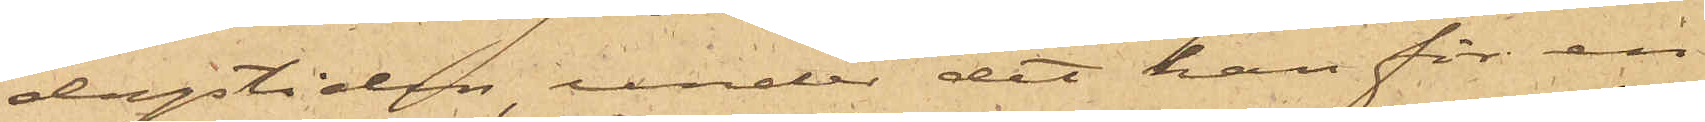dagstiden, under det han för en
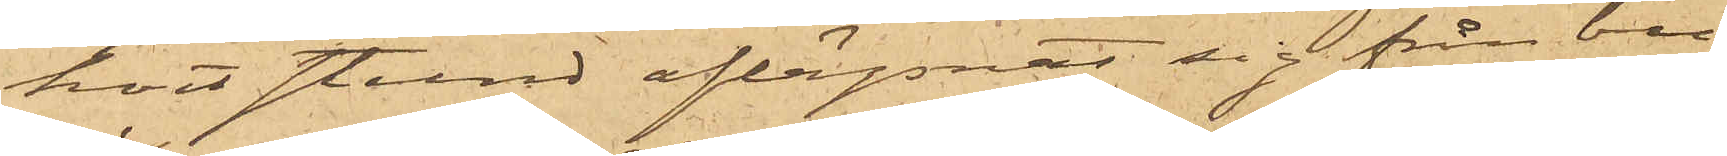kort stund aflägsnat sig från bu¬
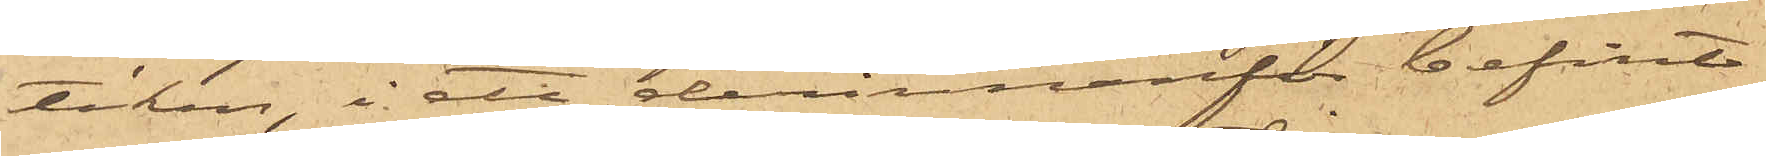tiken, i ett derinnanför befint¬
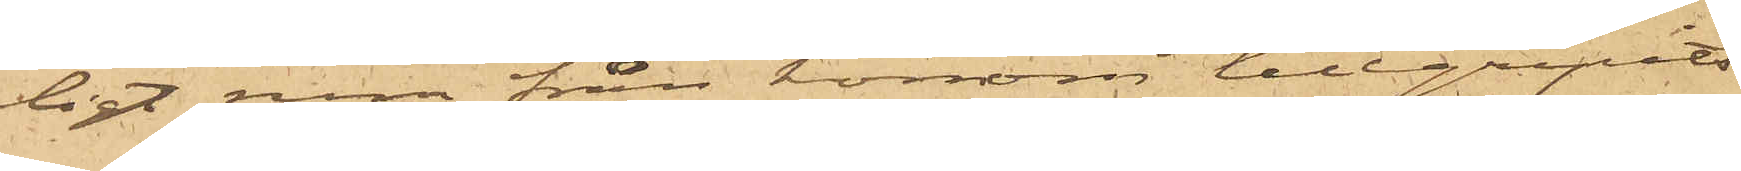ligt rum från honom tillgripits
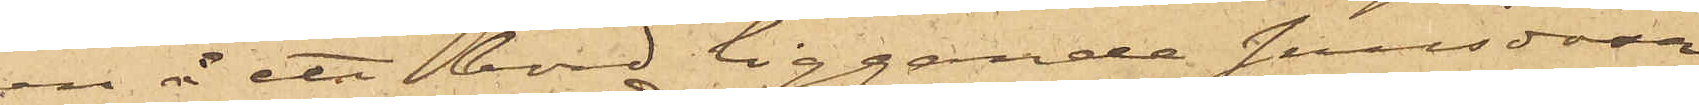en å ett bord liggande snusdosa
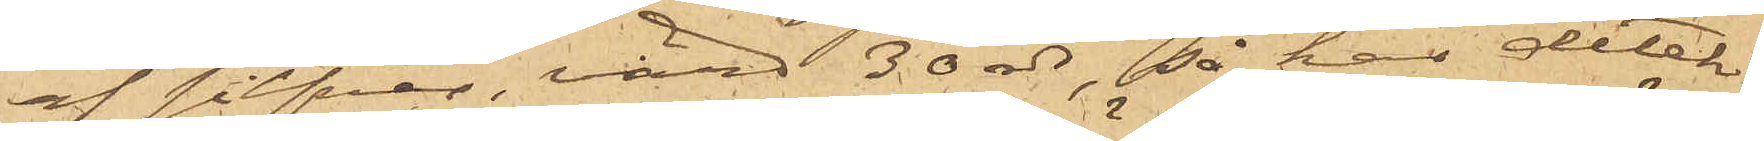af silfver, värd 30 rdr, så har detek¬
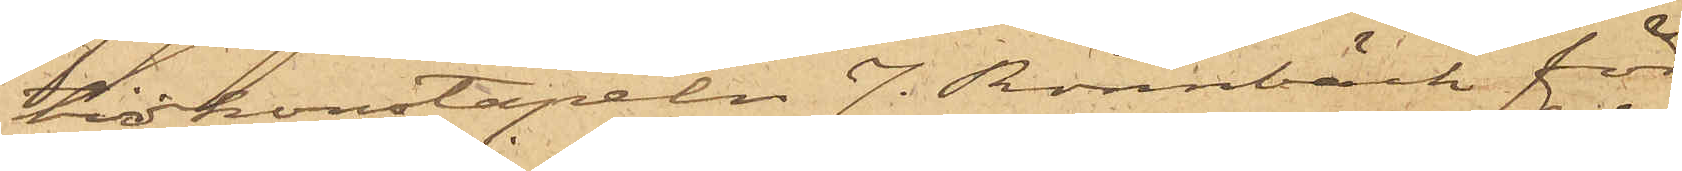tivkonstapeln J. Rönnbäck för
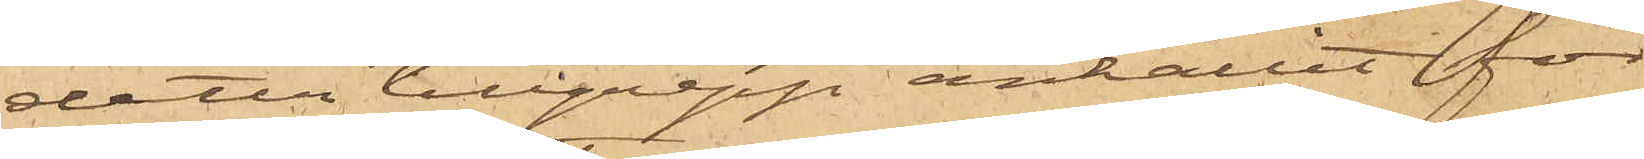detta tillgrepp anhållit för
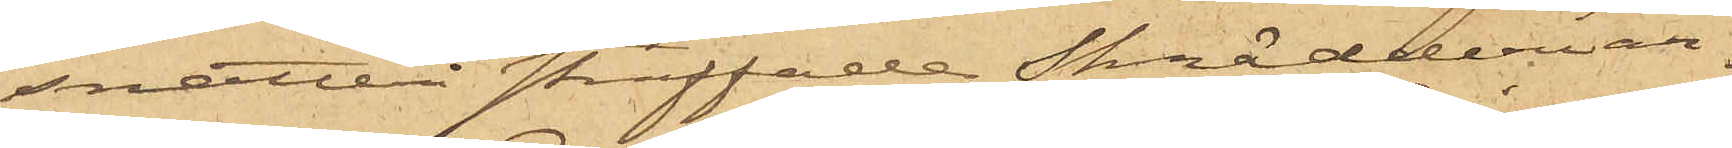snatteri straffade Skrädderiar¬
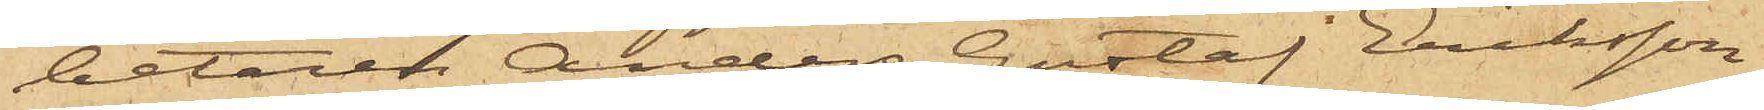betaren Anders Gustaf Eriksson
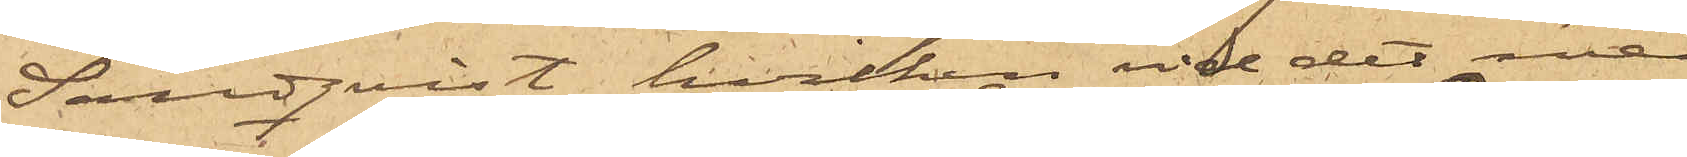Sandquist, hvilken vid det med
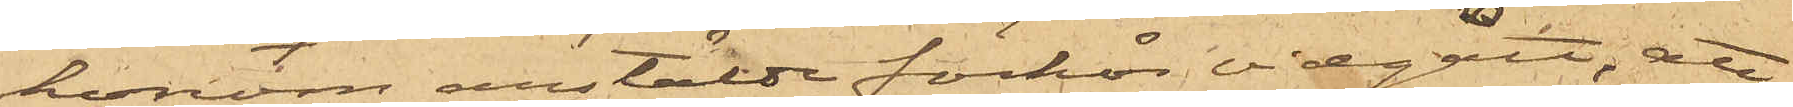honom anstälde förhör vidgått, att
